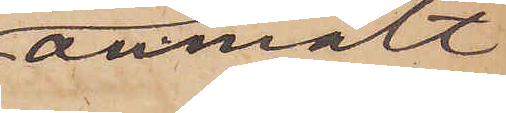anmält
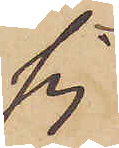sig
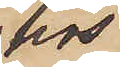hos
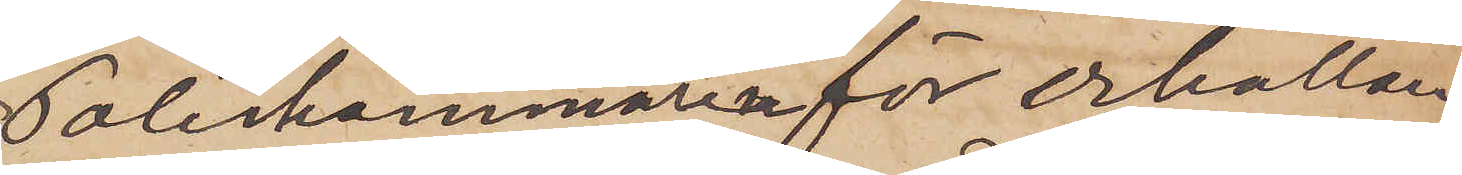Poliskammaren för erhållan¬
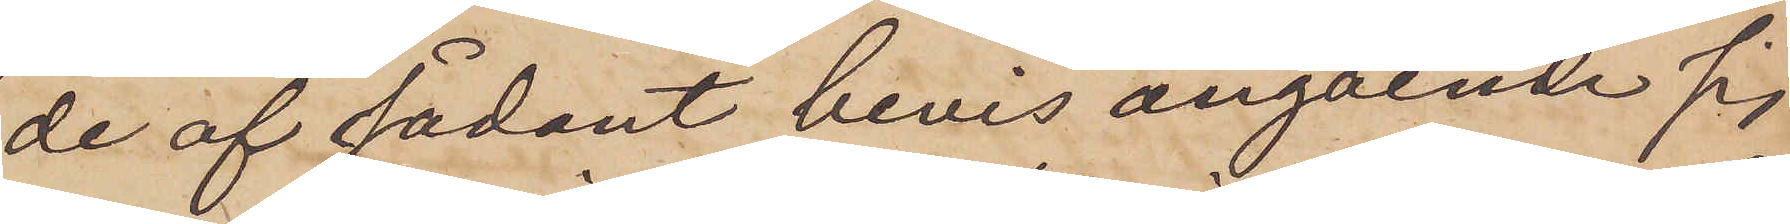de af sådant bevis angående sig
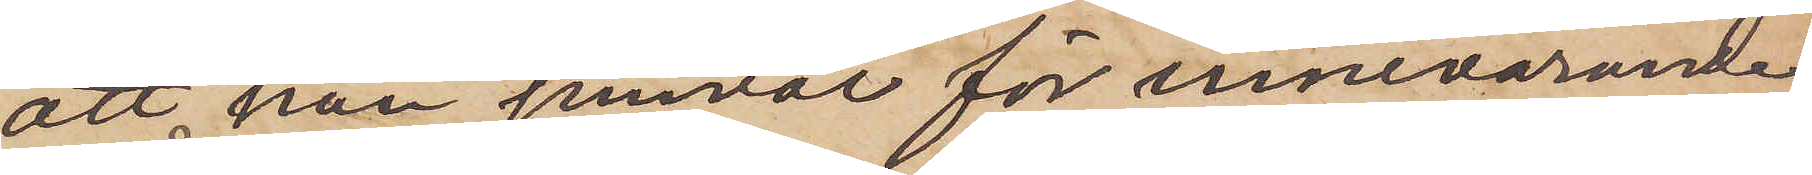att han jemväl för innevarande
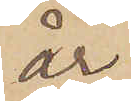år
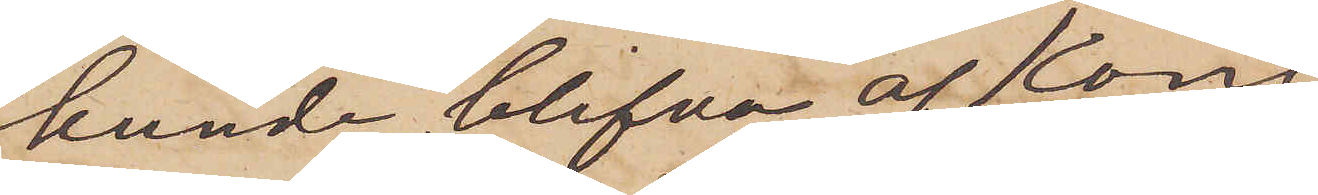kunde blifva af kongl.
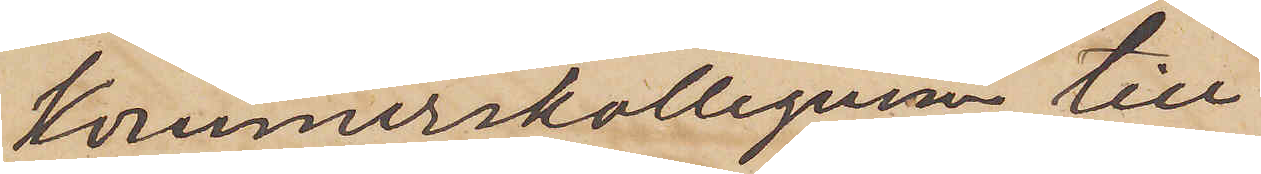Kommerskollegium till
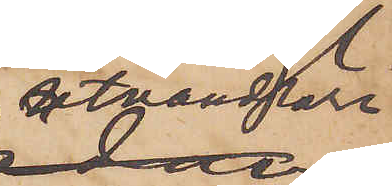utvandrare
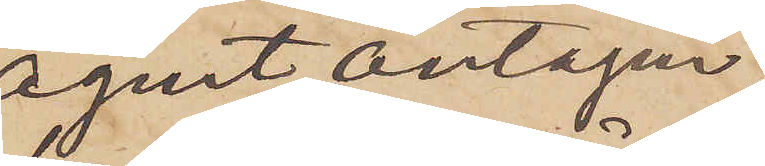agent antagen,
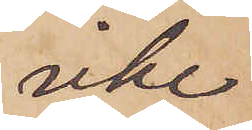icke
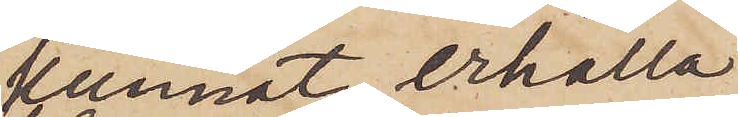kunnat erhålla
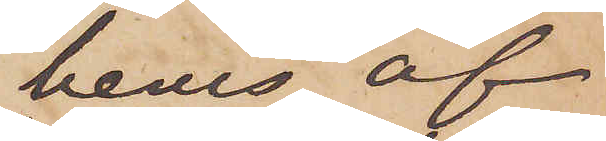bevis af
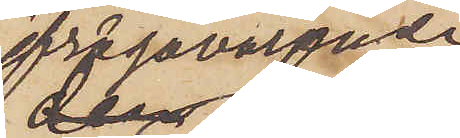ifrågavarande
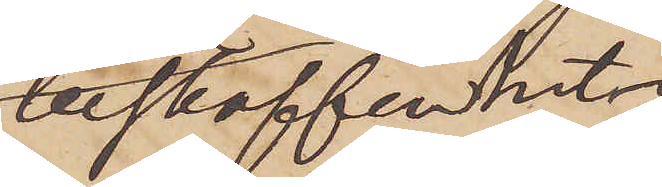beskaffenhet,
